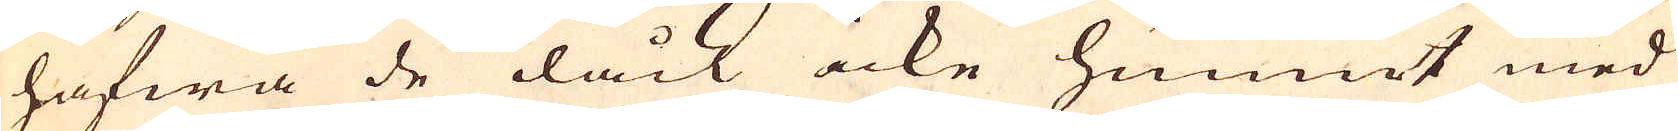hafwa de dåck icke hunnit med
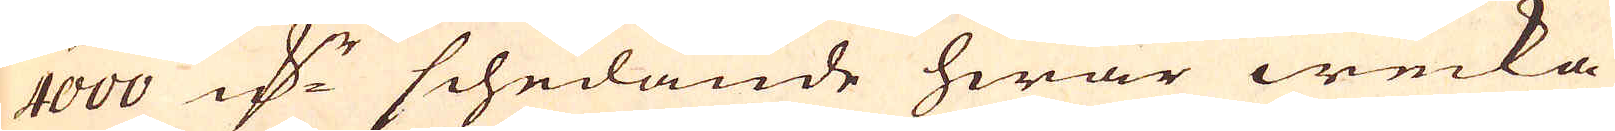4000 marker schedande hwar wecka
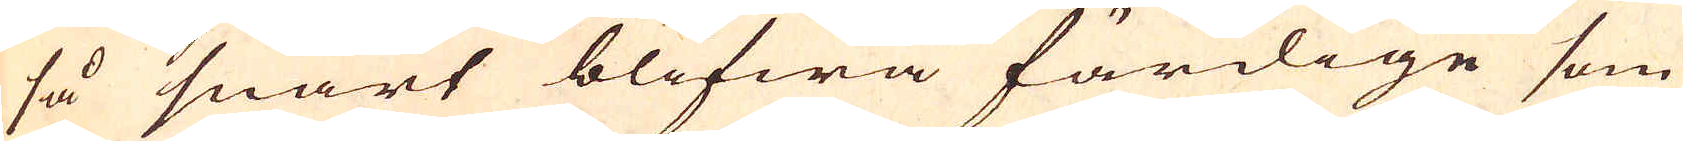så snart blifwa färdige som
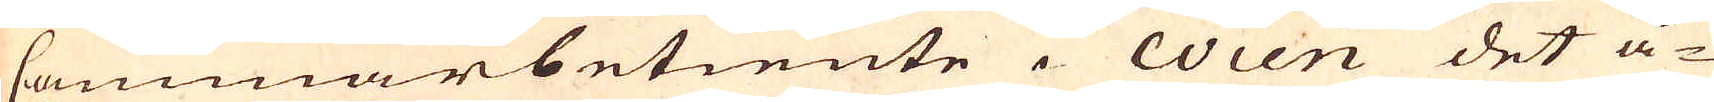Cammarbetiente i Wien det å-
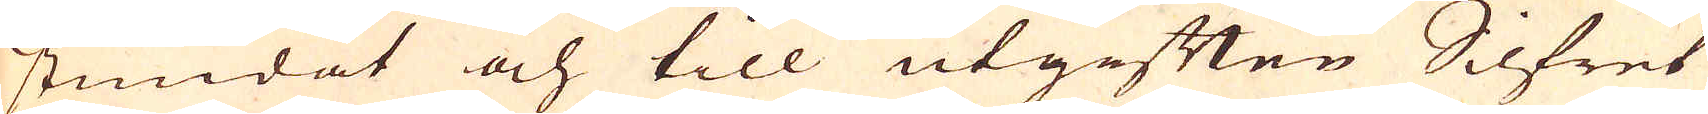stundat och till utgiften Silfret
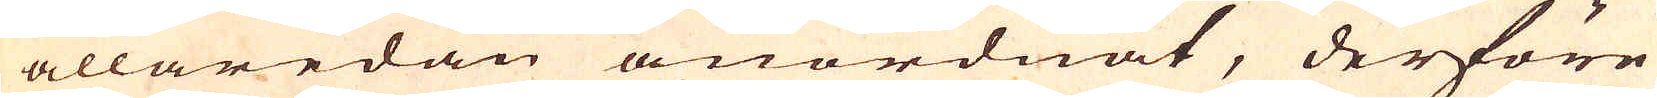allaredan anordnat, derföre
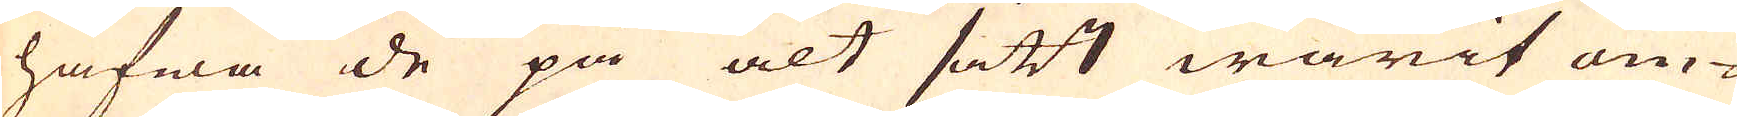hafwa de på alt sätt warit om-
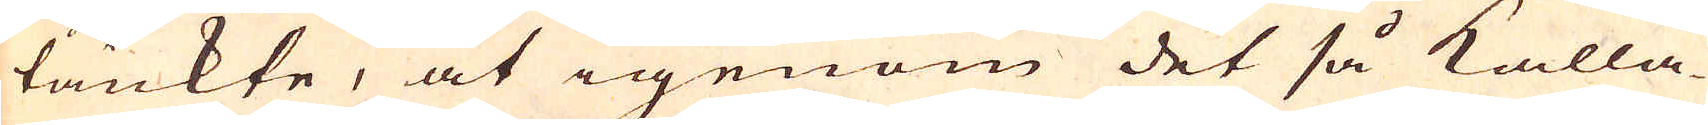tänkte, at igenom det så kalla-
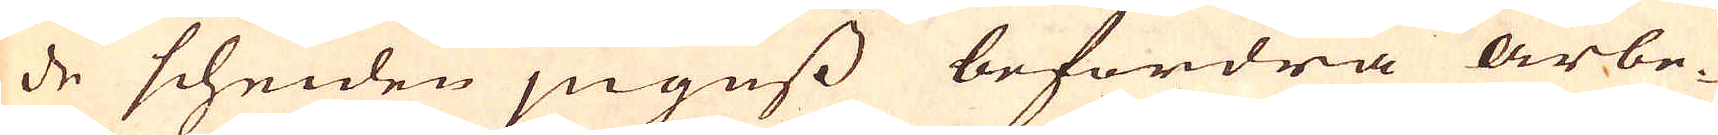de scheiden jnguss befordra arbe-
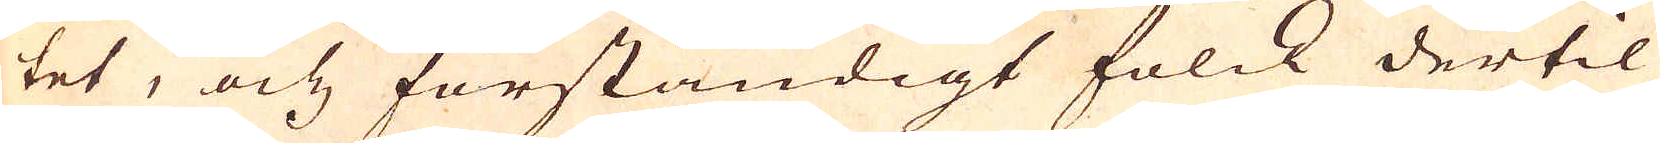tet, och förståndigt folck dertil
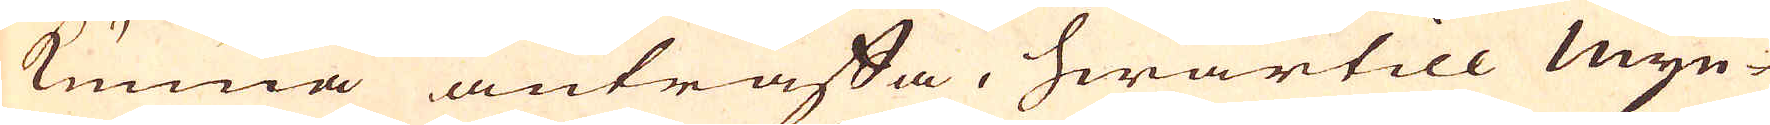kunna anträffa, hwartill Myn-
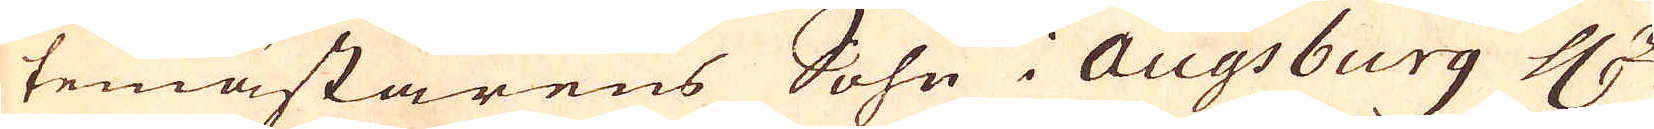temästarens Sohn i Augsburg H:r
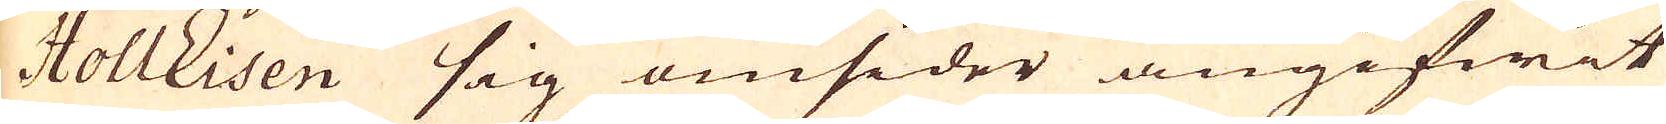HollEisen sig omsider angifwit
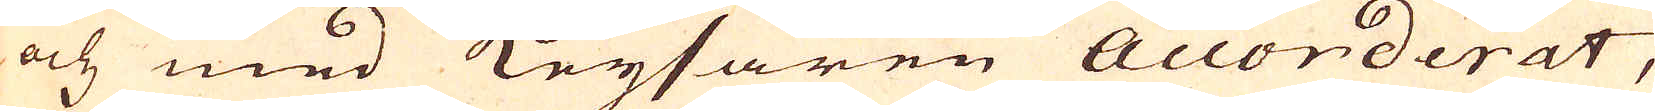och med Keysaren Accorderat,
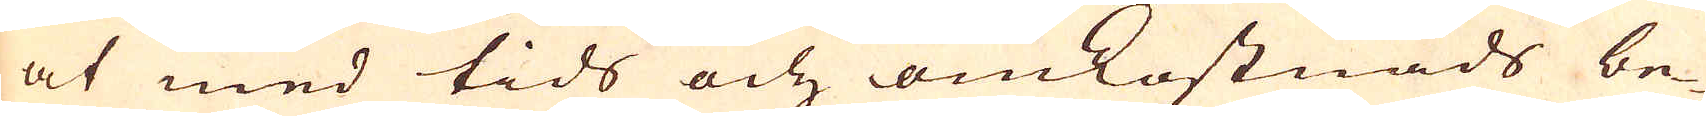at med tids och omkostnads be-
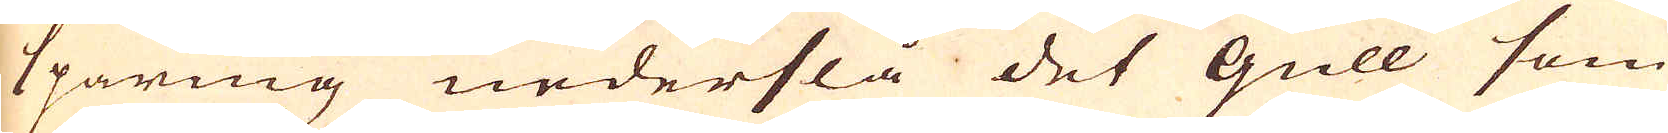sparing nederslå det Gull som
